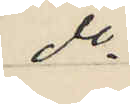do
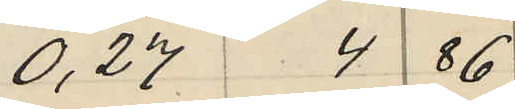0,27 4 86
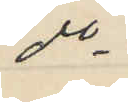do
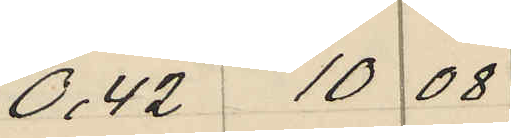0,42 10 08
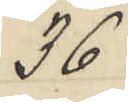36
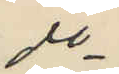do
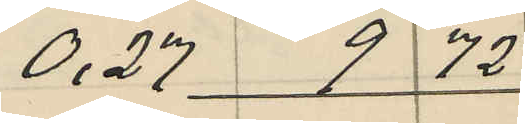0,27 9 73
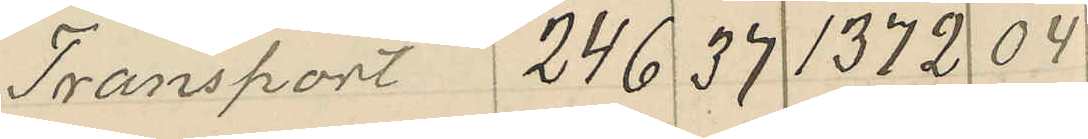Transport 246 39 1372 04
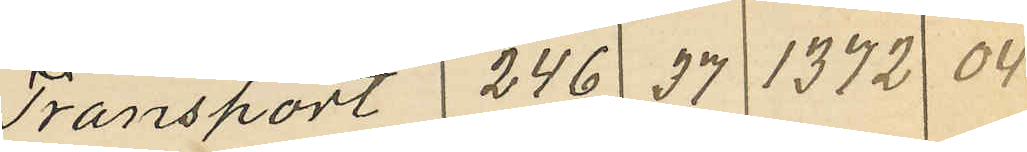Transport 246 37 1372 04
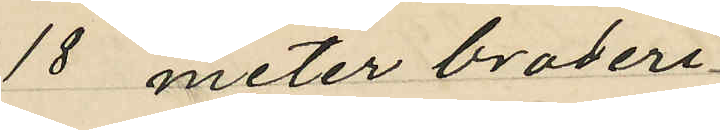18 meter broderi
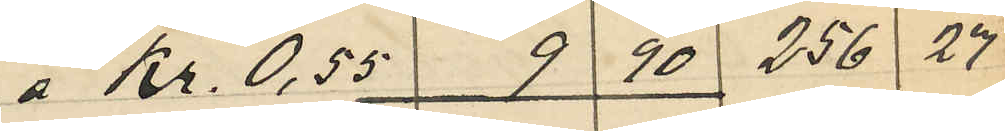a Kr. 0,55 9 90 256 27
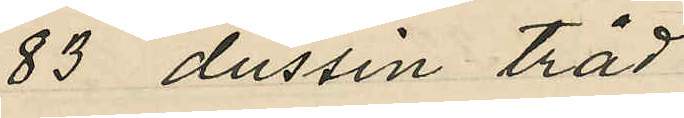83 dussin tråd
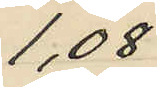1,08
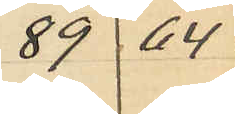89 64
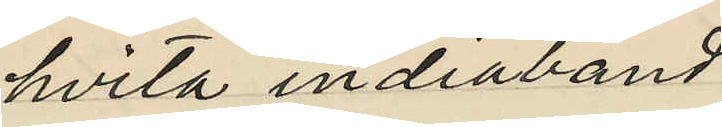hvita indiaband
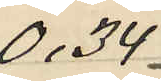0,34
